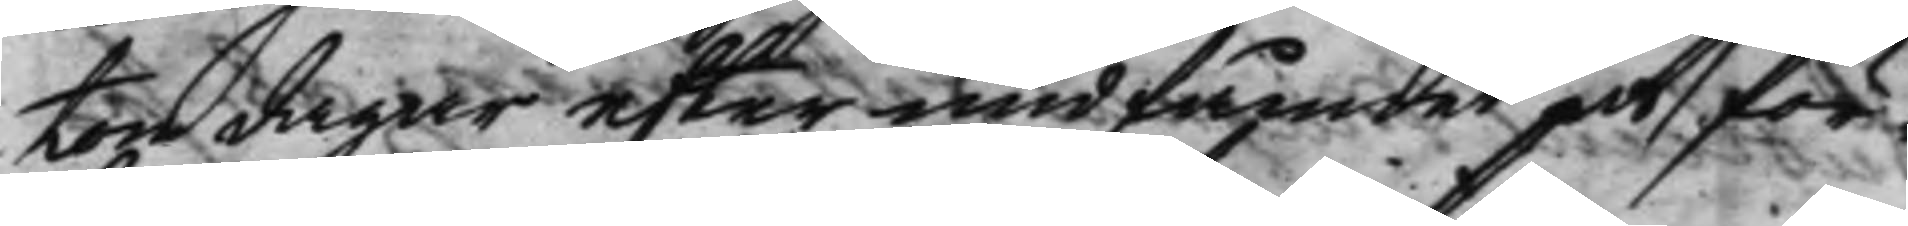ton dagar efter undfånget at för¬
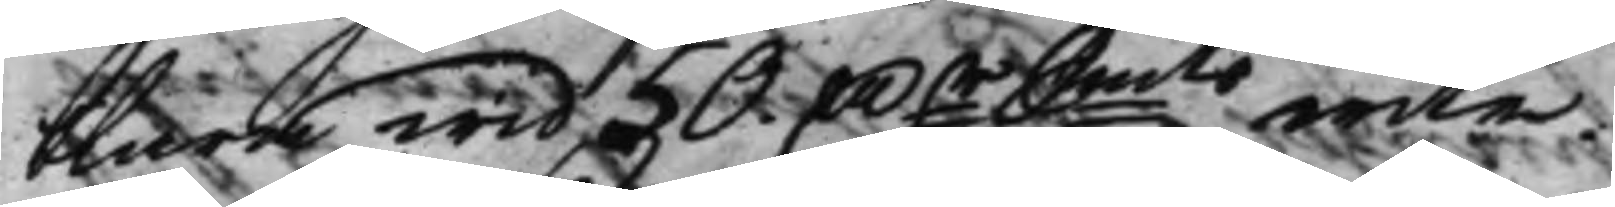klara wid 50. Dr Smts wite. 
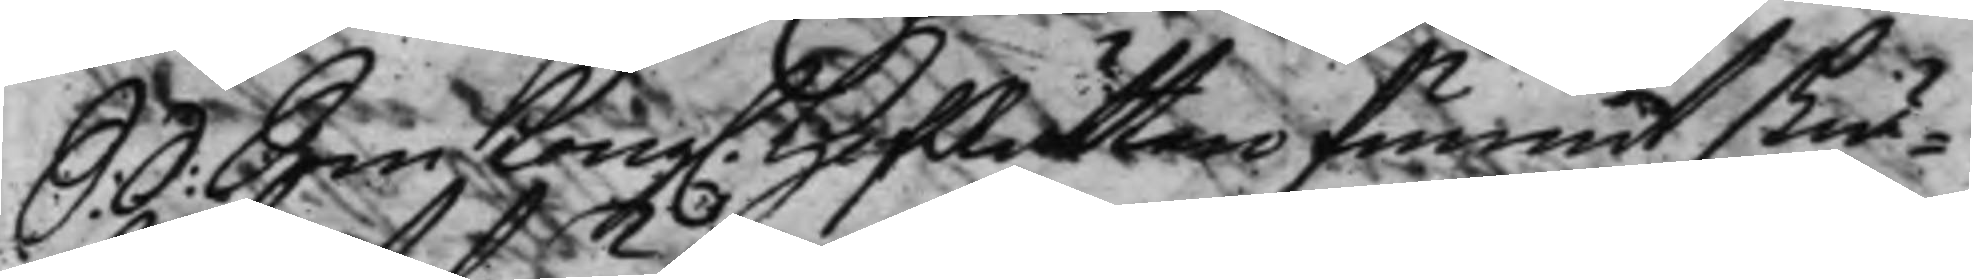S. d: Som Kong. HofRätten funnit skiä¬ 
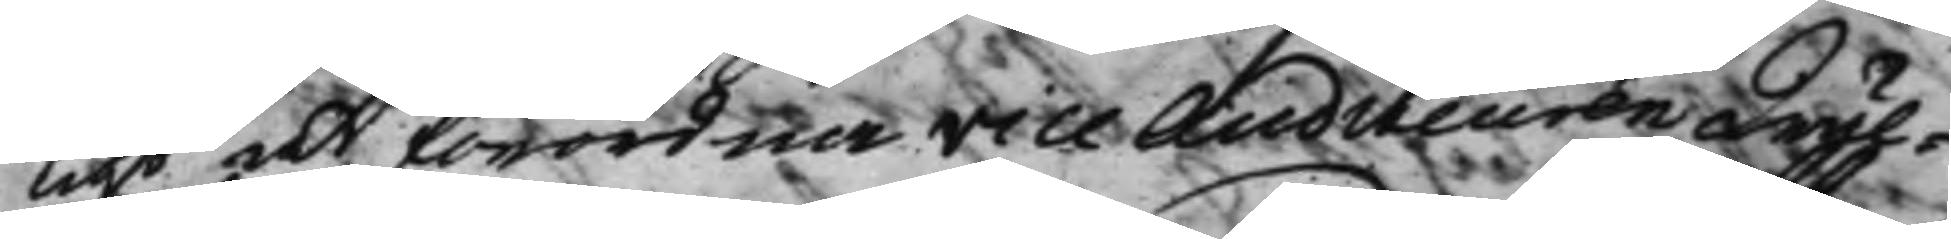ligt at förordna Vice Auditeuren Wäl¬
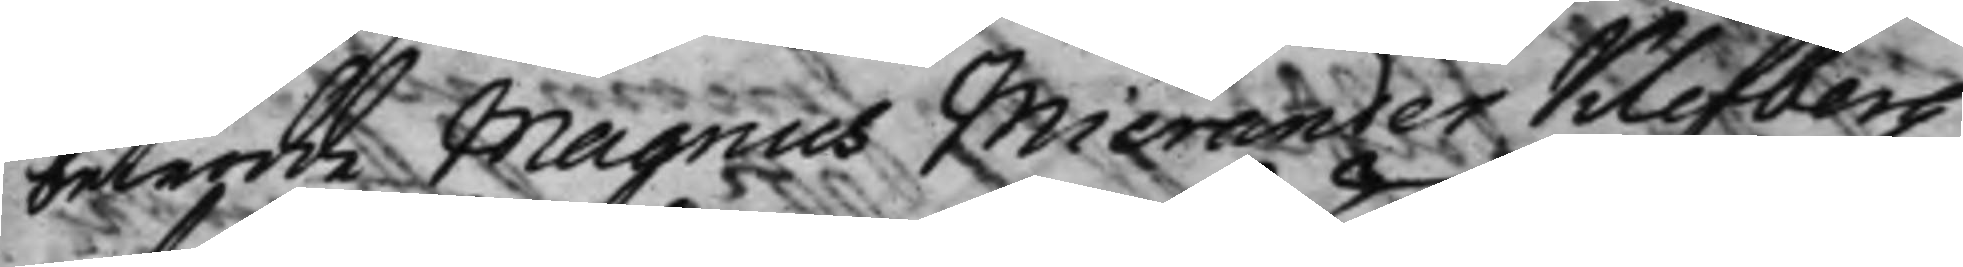betrodde Magnus Micrander Klefberg
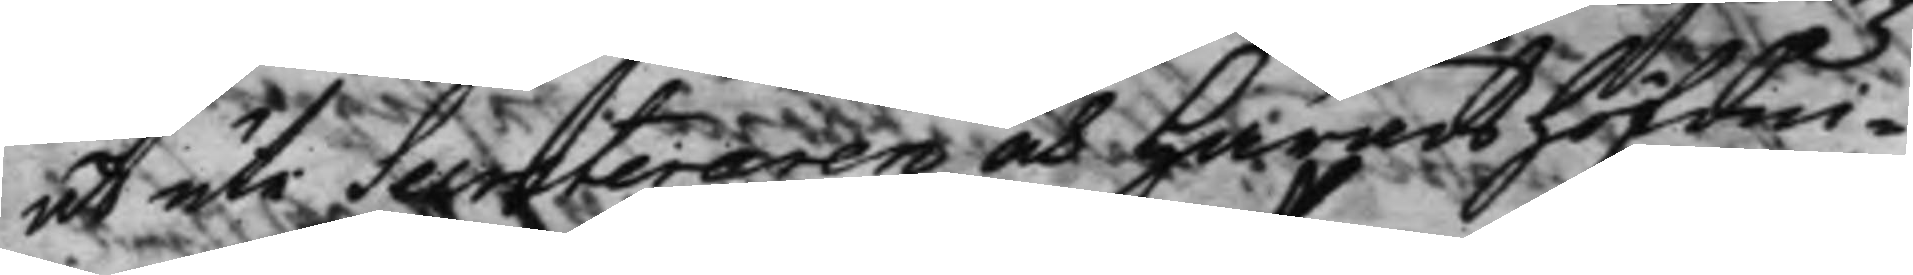at uti Secreteraren och Häradshöfdin¬
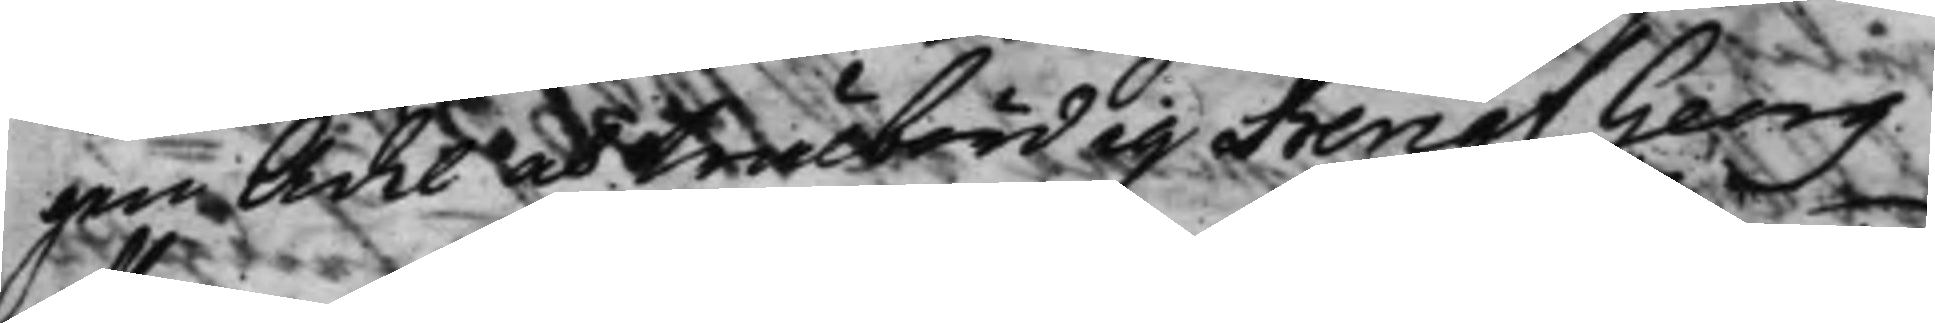gen Ädel och Wälbördig Bengt Georg
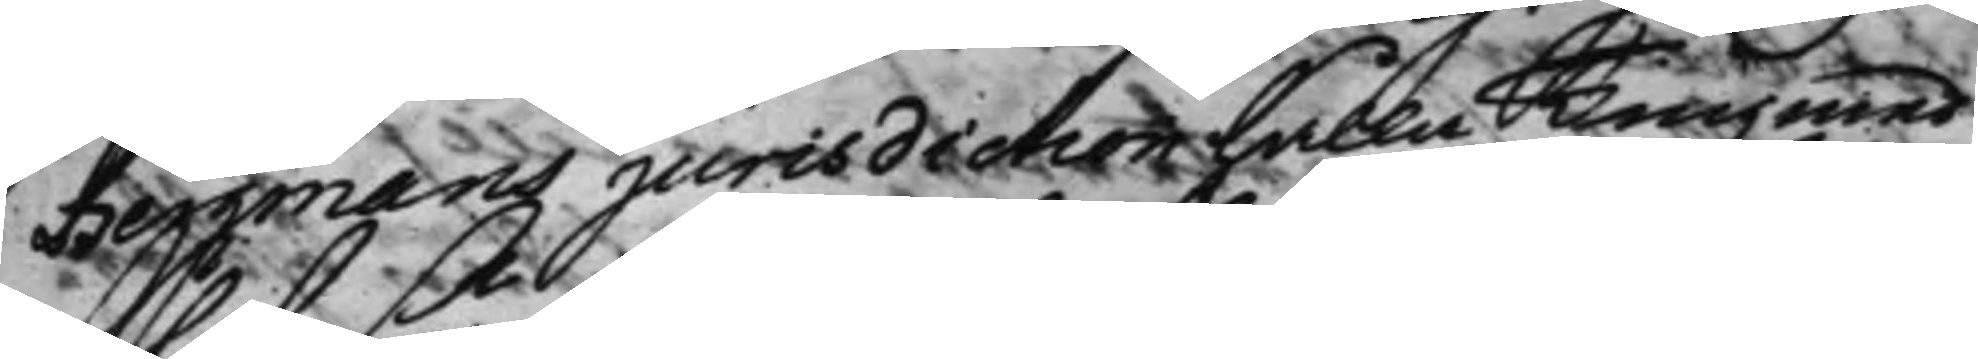Bergmans jurisdiction hålla Ting med
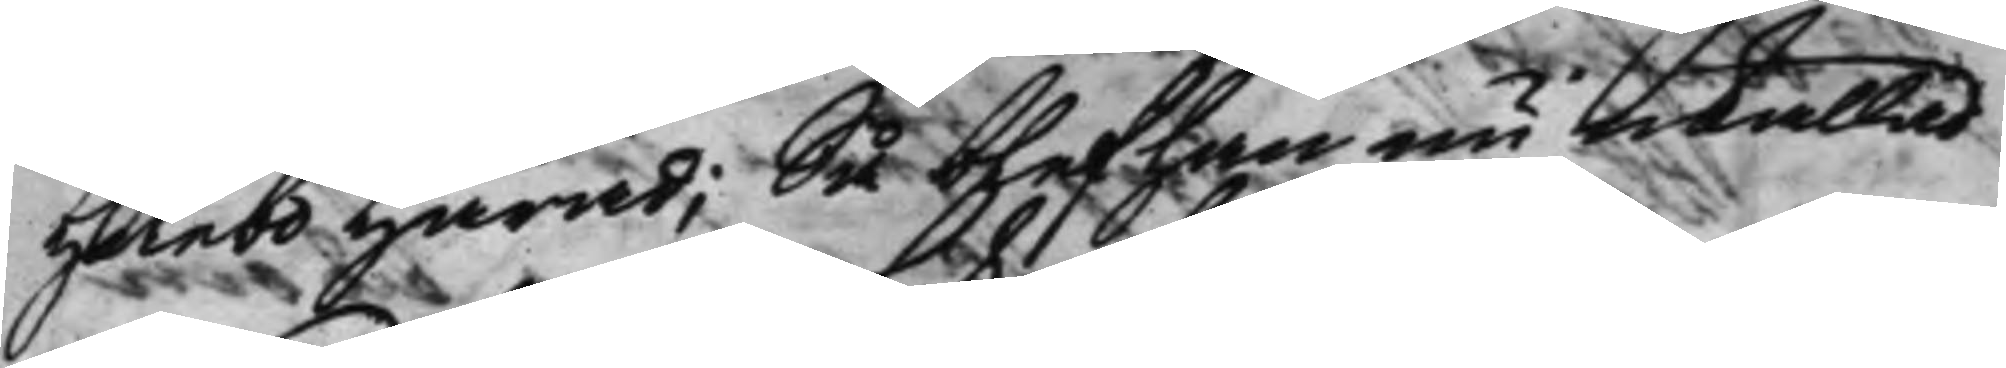Hölebo Härad; Så blef han nu inkallad
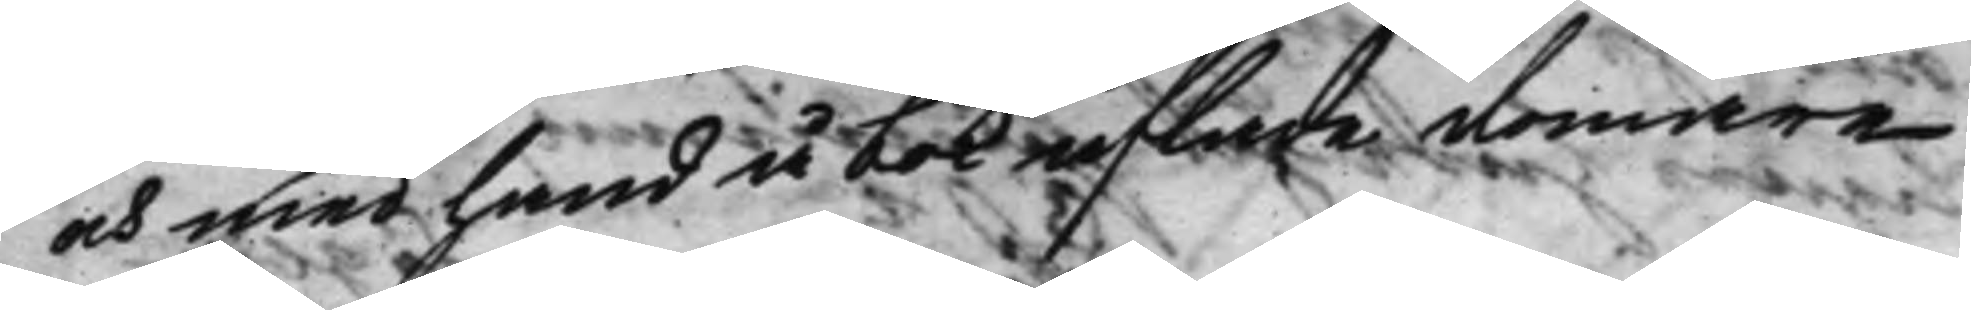och med hand å bok aflade domare¬
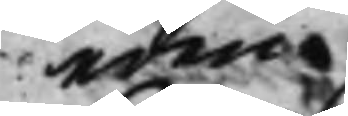eden.
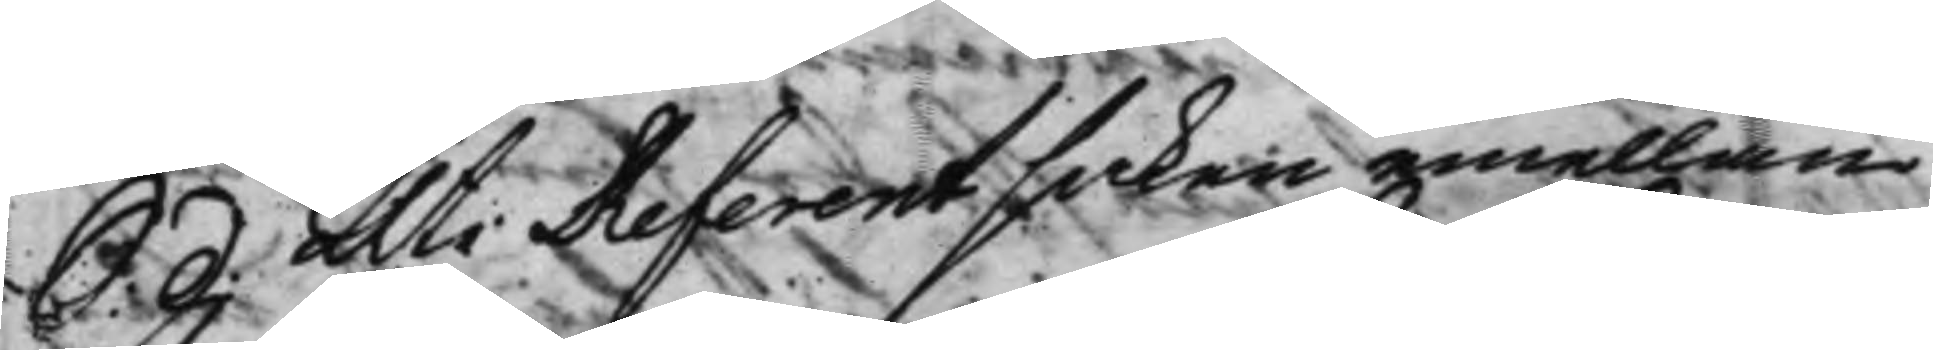S: d: Uti Referentsaken emellan 
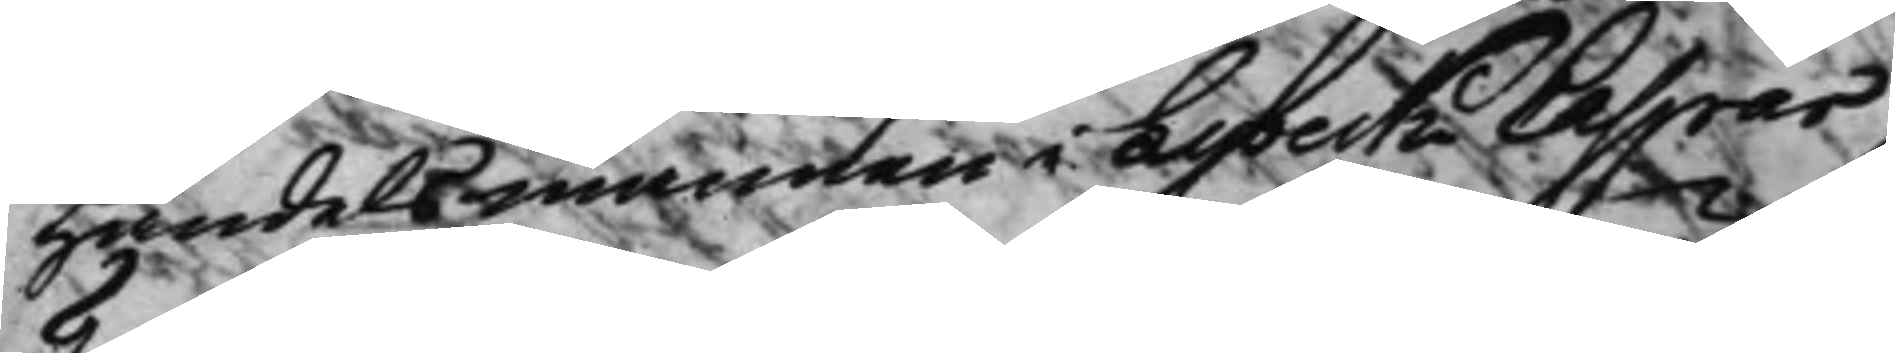Handelsmannen i Lybeck Caspar
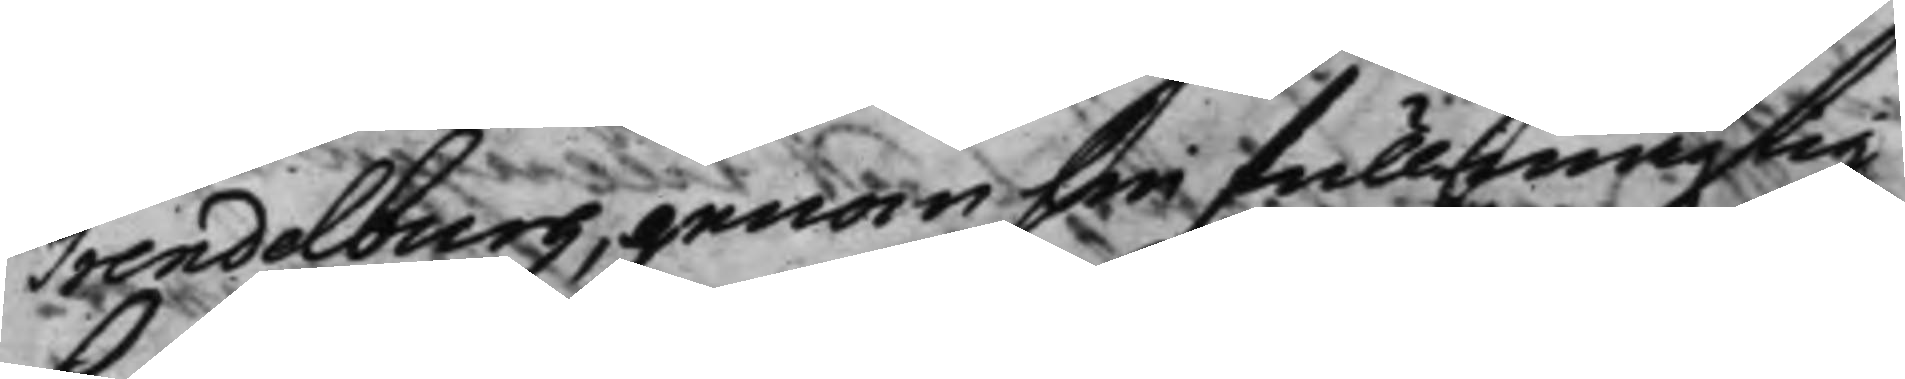Trendelburg, genom sin fullmägtig
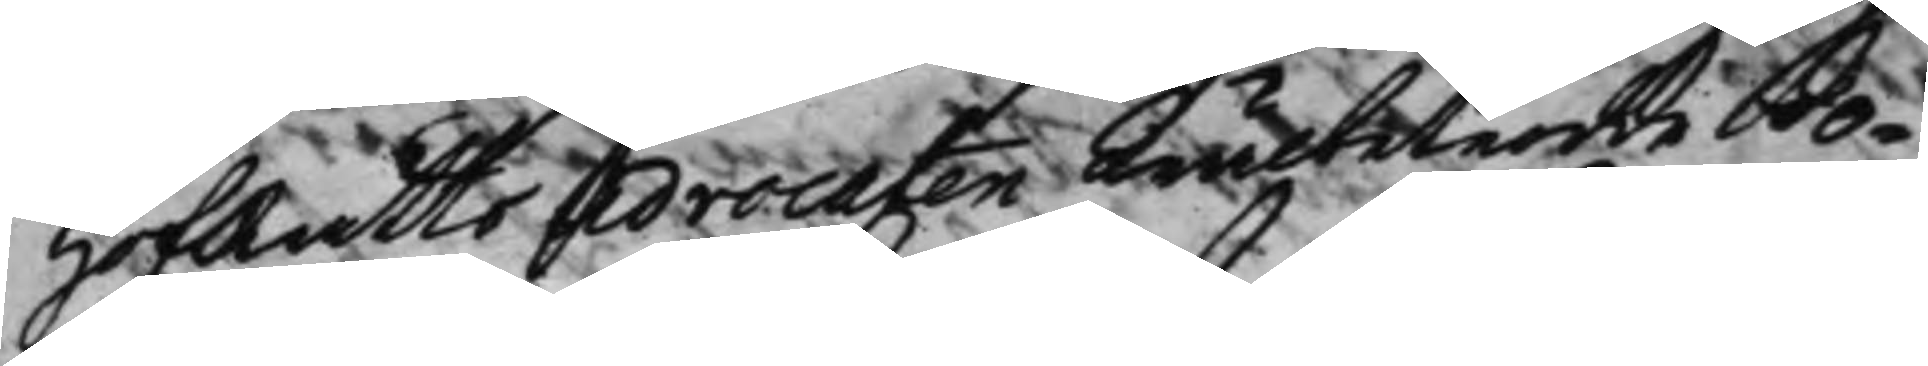HofRätts Advocaten Wälbetrodde Jo¬
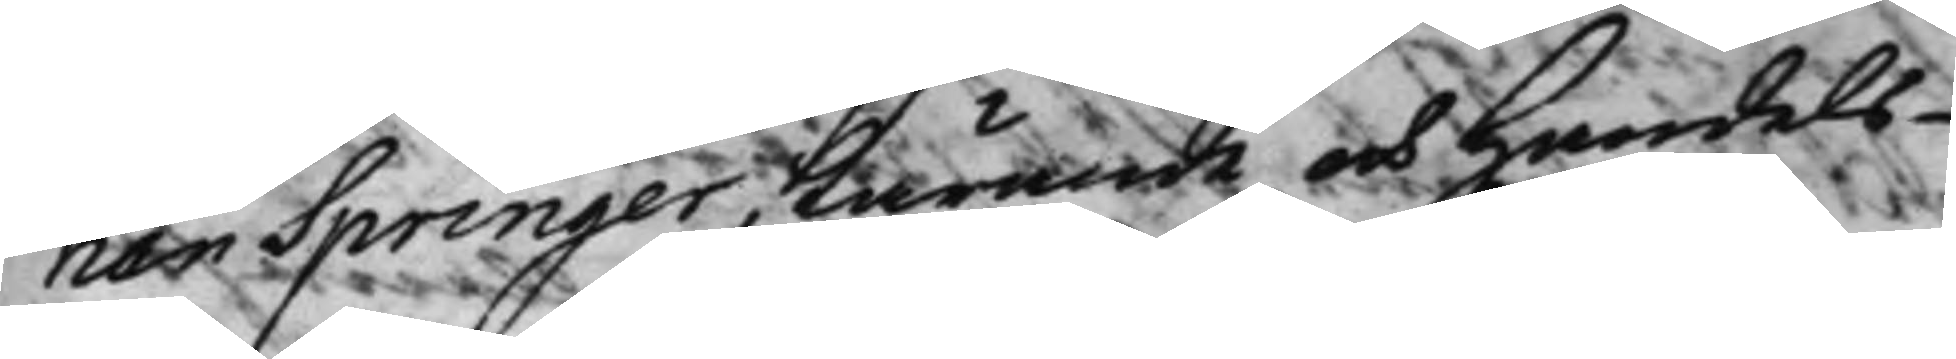han Springer, Kärande och Handels¬
